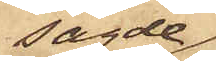sagde
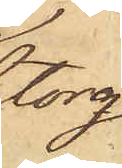torg,
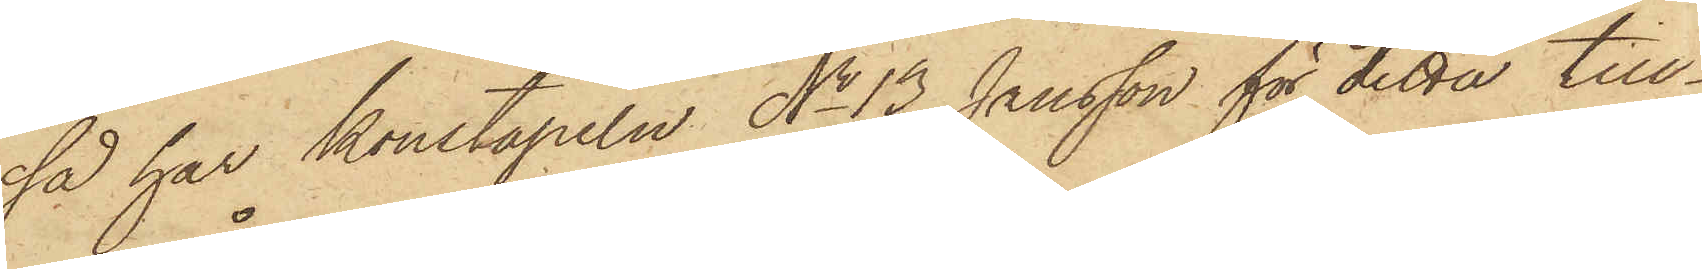så har Konstapeln No 13 Jansson för detta till¬
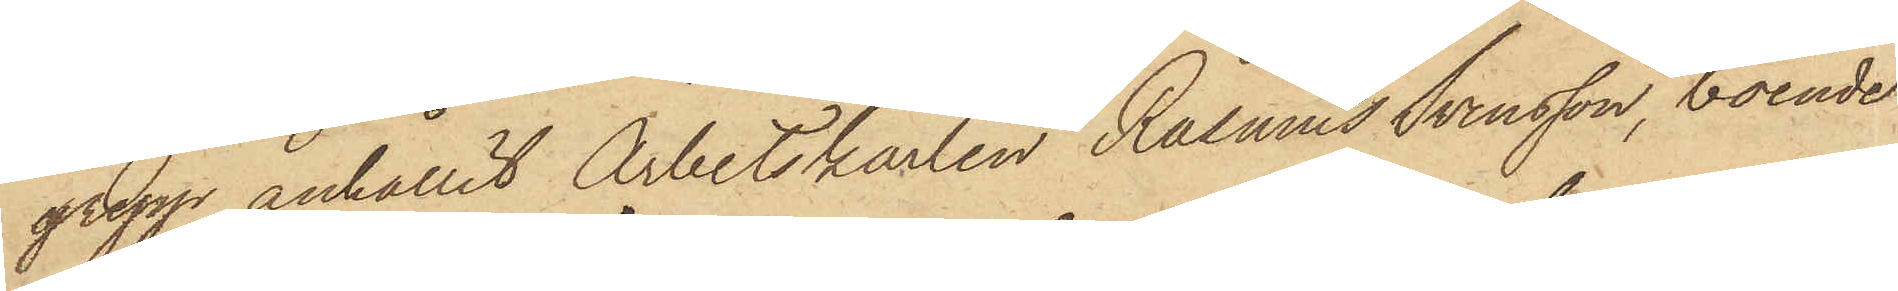grepp anhållit Arbetskarlen Rasmus Svensson, boende
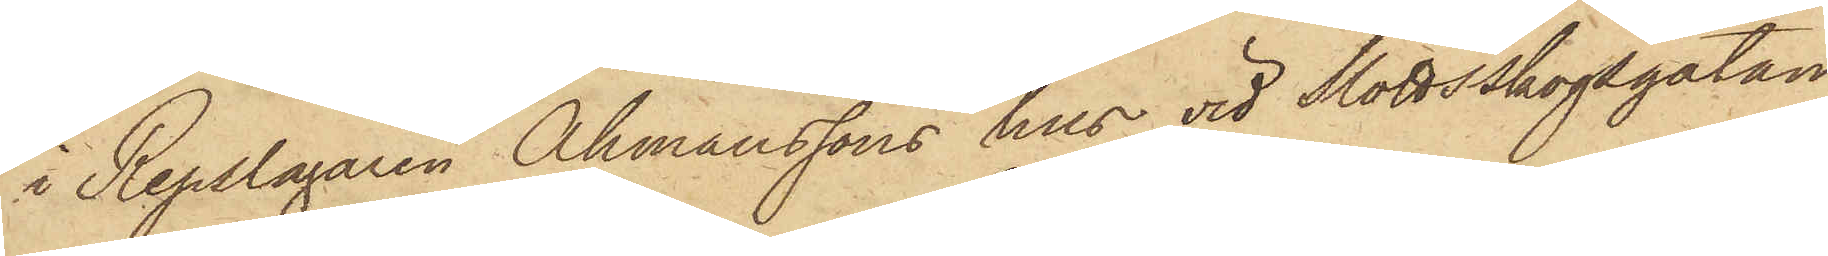i Repslagaren Åhmanssons hus vid Slottsskogsgatan,
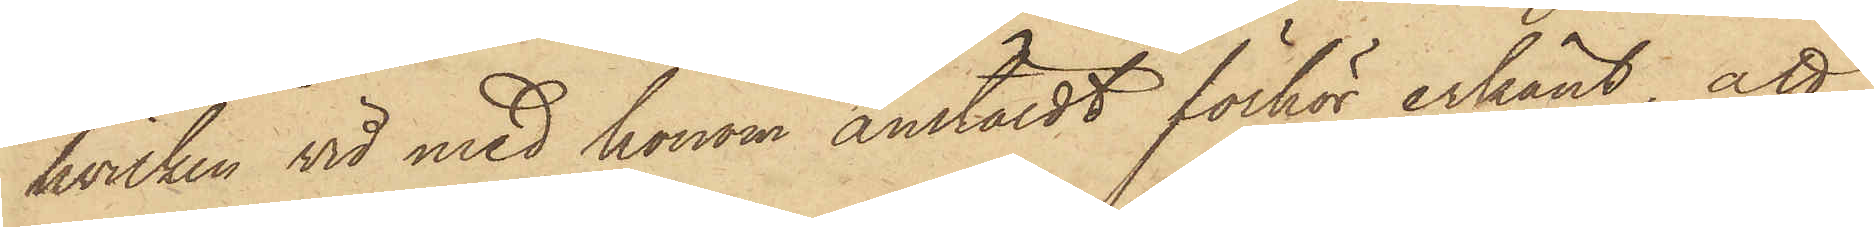hvilken vid med honom anstäldt förhör erkänt, att
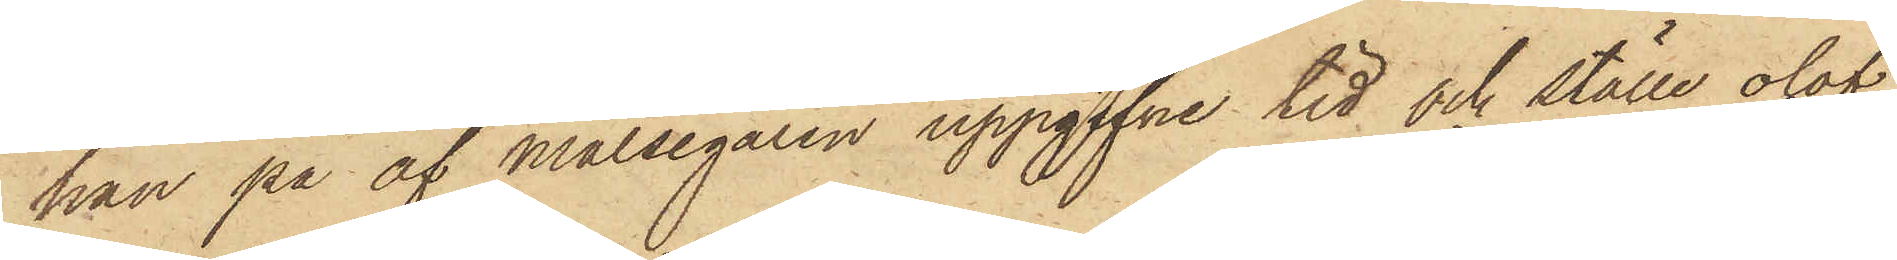han på af Målsegaren uppgifne tid och ställe olof¬
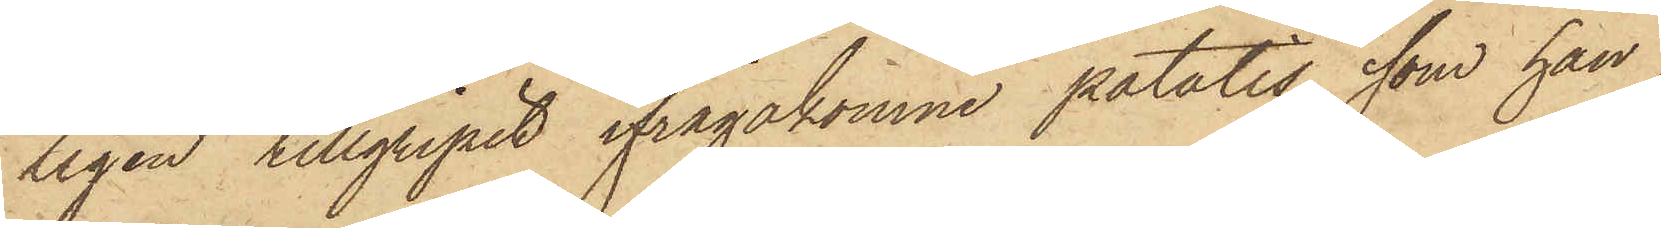ligen tillgripit ifrågakomne potatis, som han
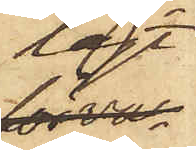lagt
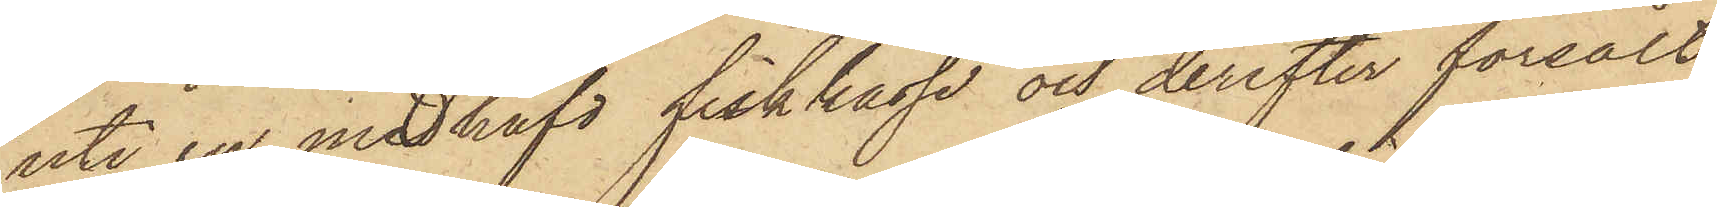uti en medhafd fiskkasse och derefter försålt
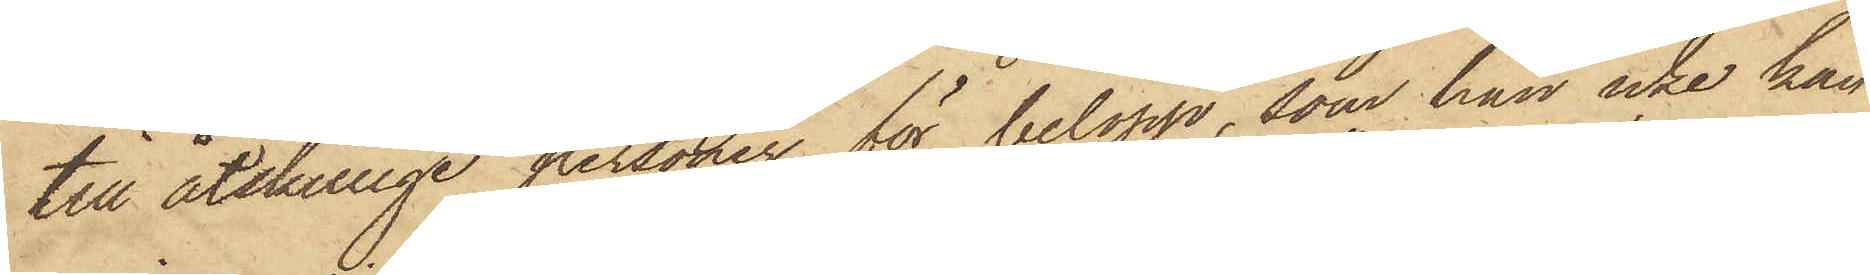till åtskillige personer för belopp, som han icke kan
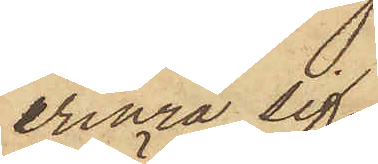erinra sig,
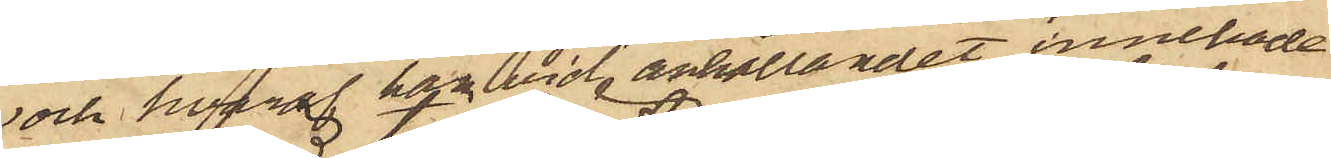och hvaraf han vid anhållandet innehade
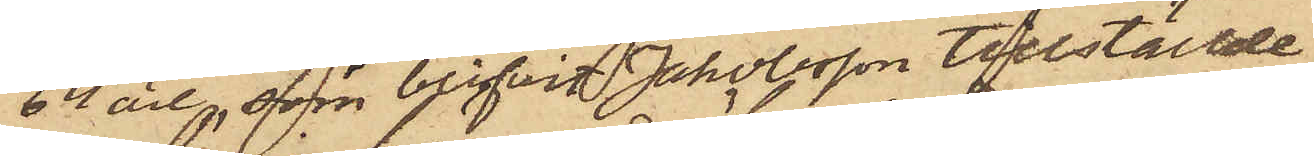64 öre, som blifvit Johansson tillställde.
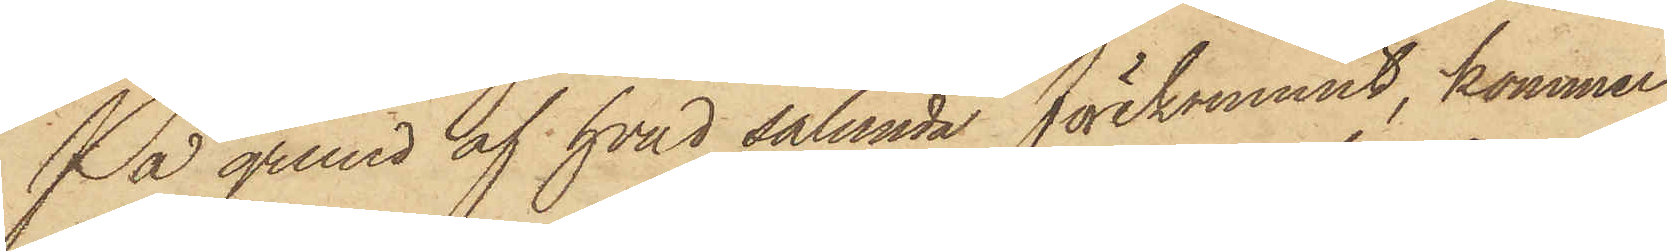På grund af hvad sålunda förekommit, kommer
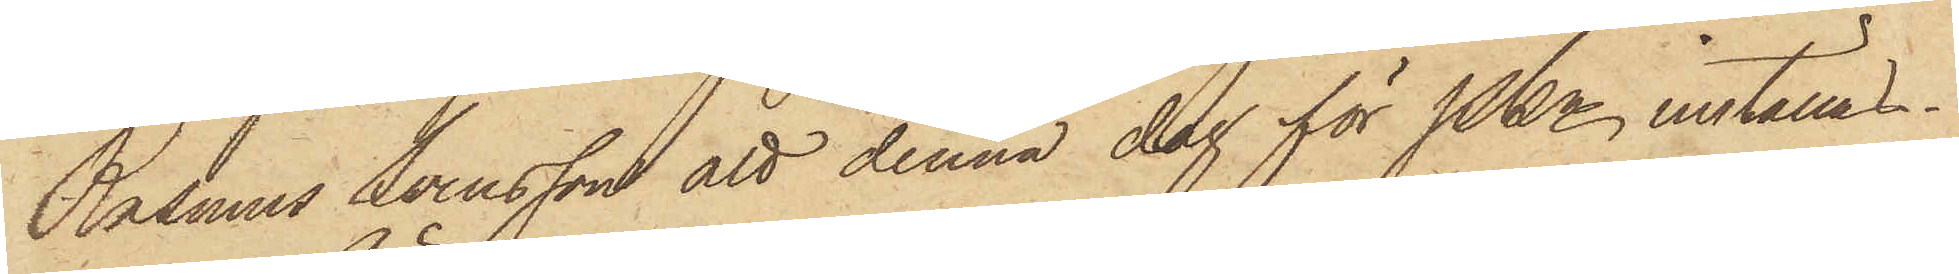Rasmus Svensson att denna dag för PKn inställas.
